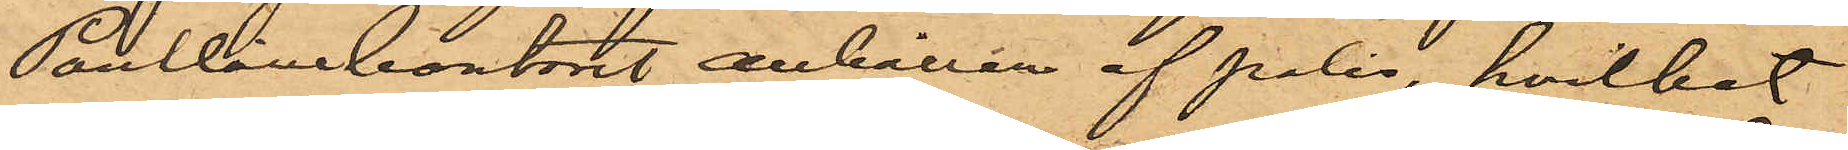Pantlånekontoret anhållen af polis, hvilket
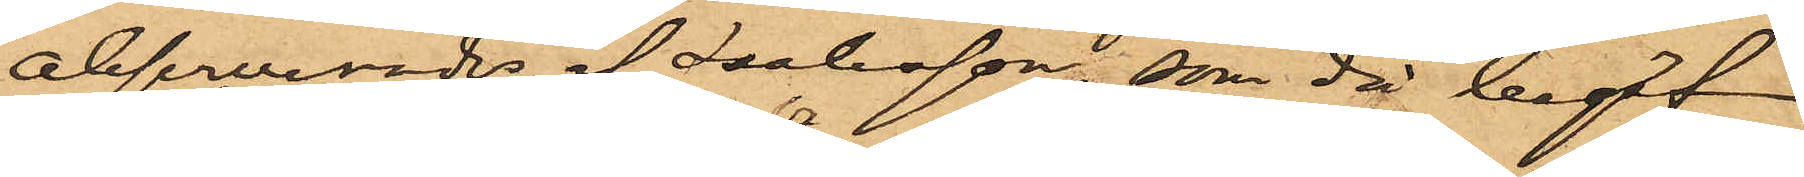observerades av Isaksson, som då begaf
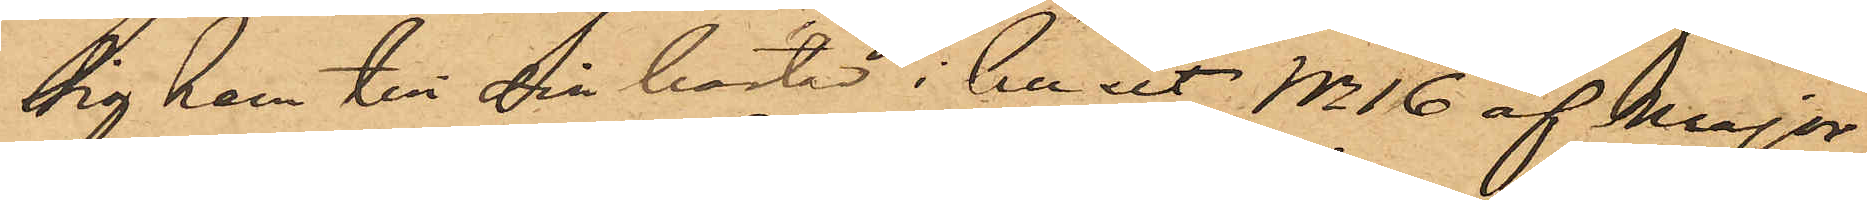 sig hem till din bostad i huset No 16 af Major¬
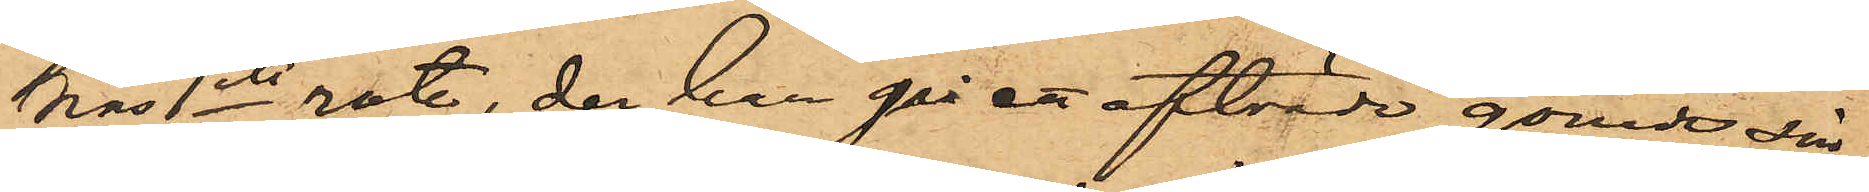nas 1ste rote, der han på ett afträde gömde sin
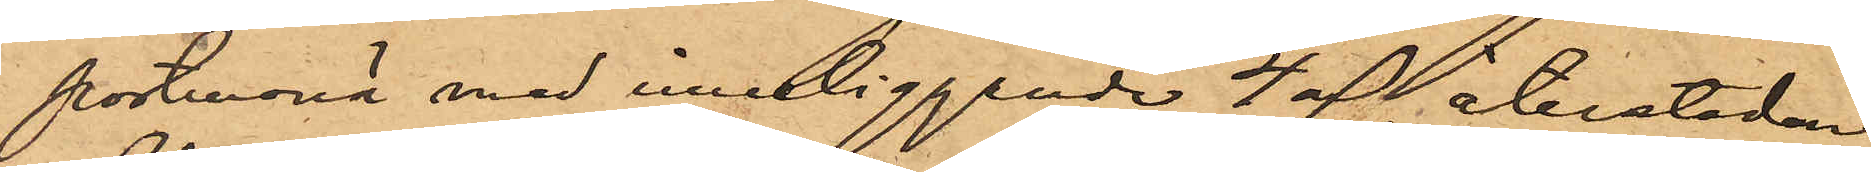portmonä med inneliggande 4 rdr, återstoden
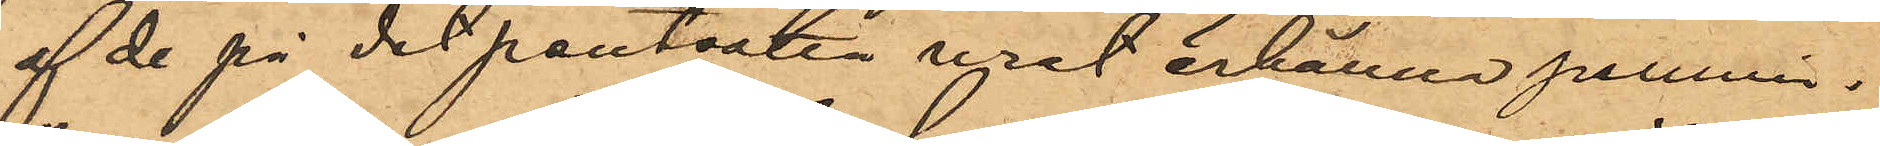af de på det pantsatta uret erhållne pennin¬
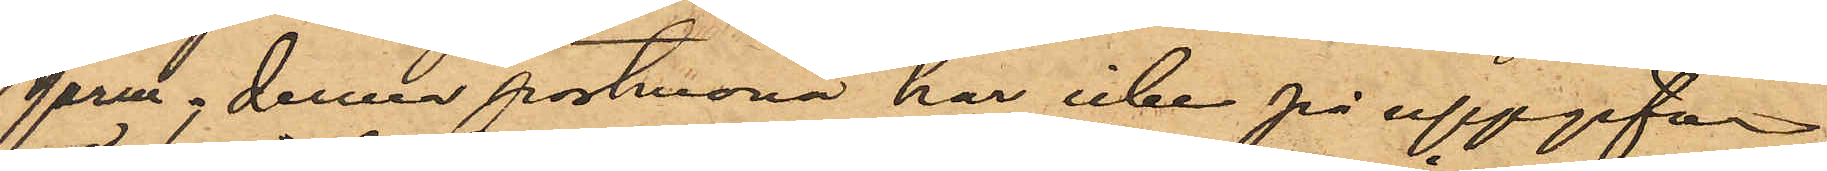garne; denna portmonä har icke på uppgifvna
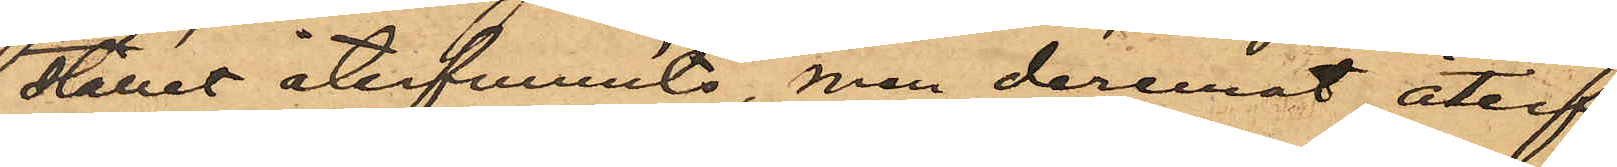stället återfunnits, men deremot återf¬
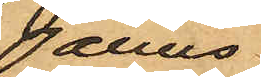anns
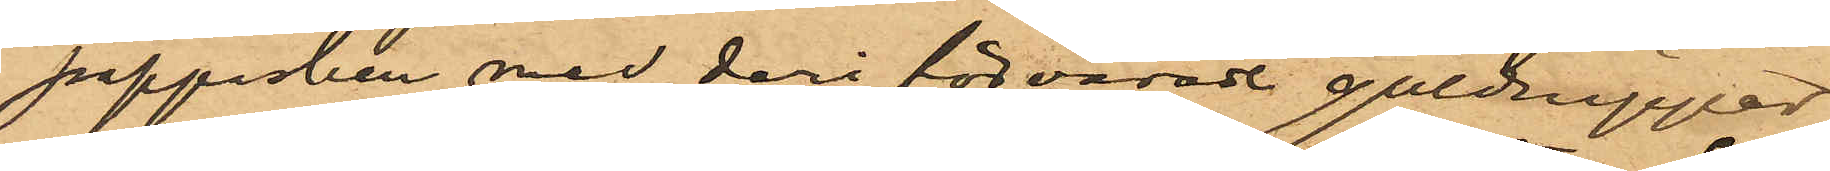pappasken med deri förvarade guldnipper
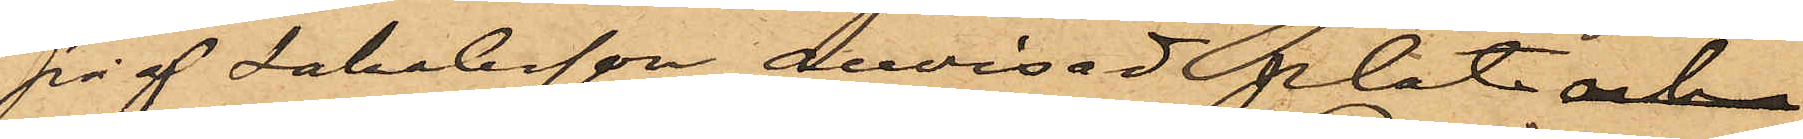på af Jakobsson anvisad plats  och
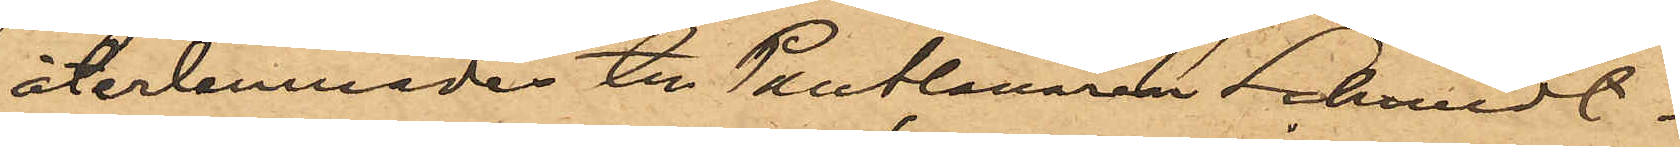återlemnades till Pantlånaren Schmidt.
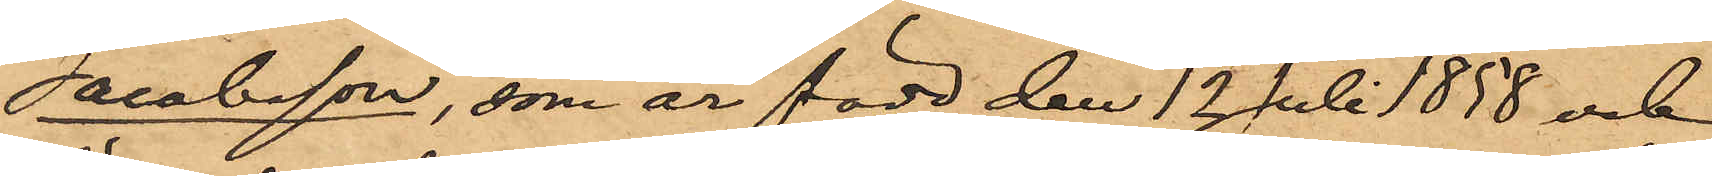Jacobsson, som är född den 12 Juli 1858 och
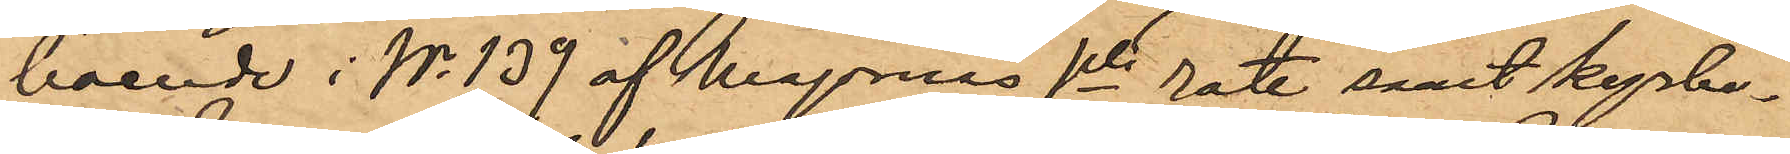boende i No 139 af Majornas 1ste rote samt kyrko¬
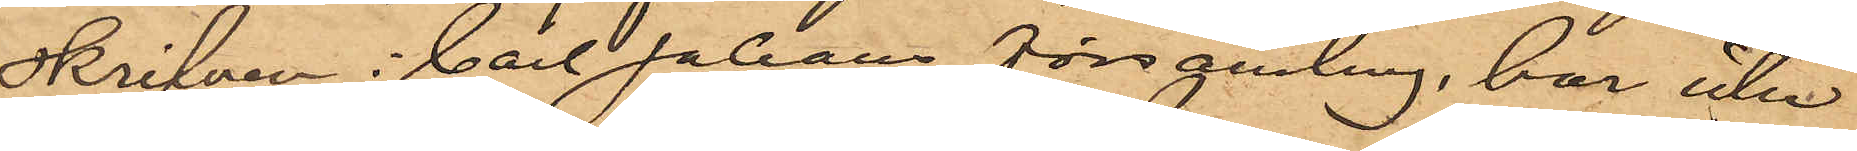skrifven i Carl Johans församling, har icke
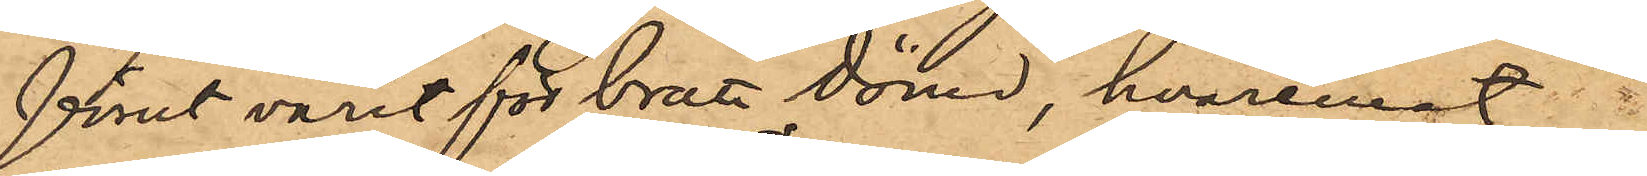förut varit för brott dömd, hvaremot
